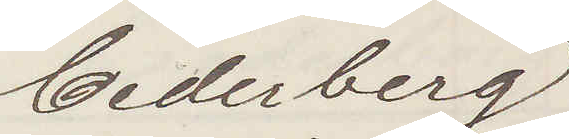Cederberg
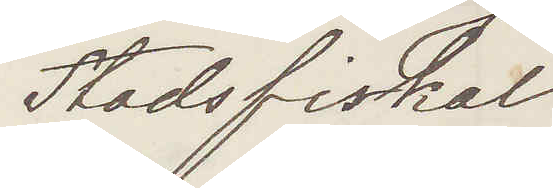Stadsfiskal
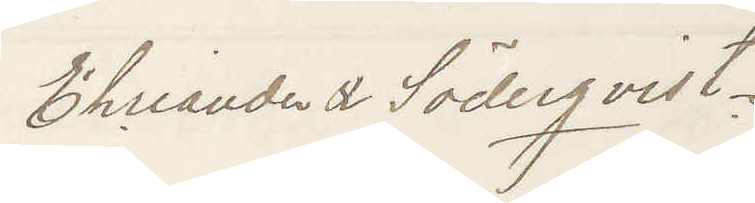Ehreander & Söderqvist.
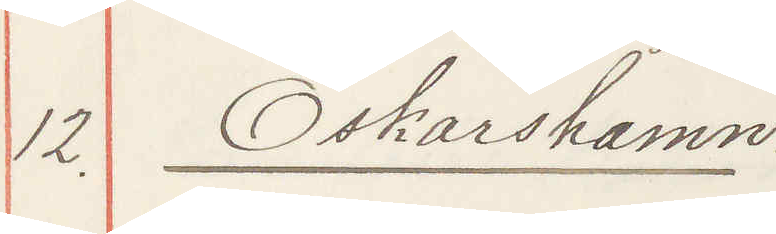12. Oskarhamn:
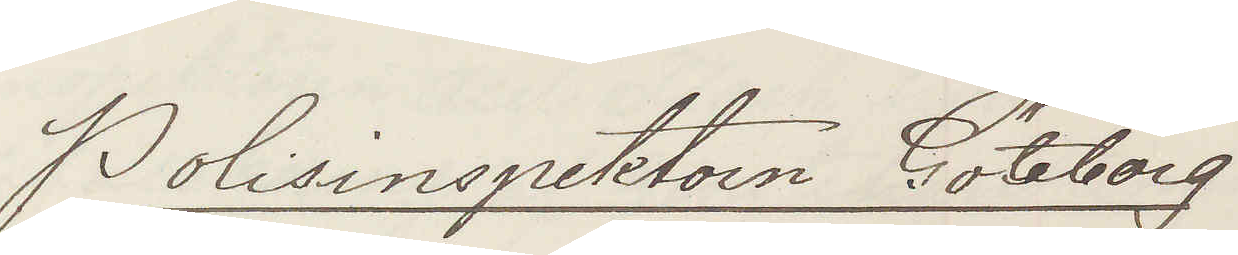Polisinspektorn Göteborg
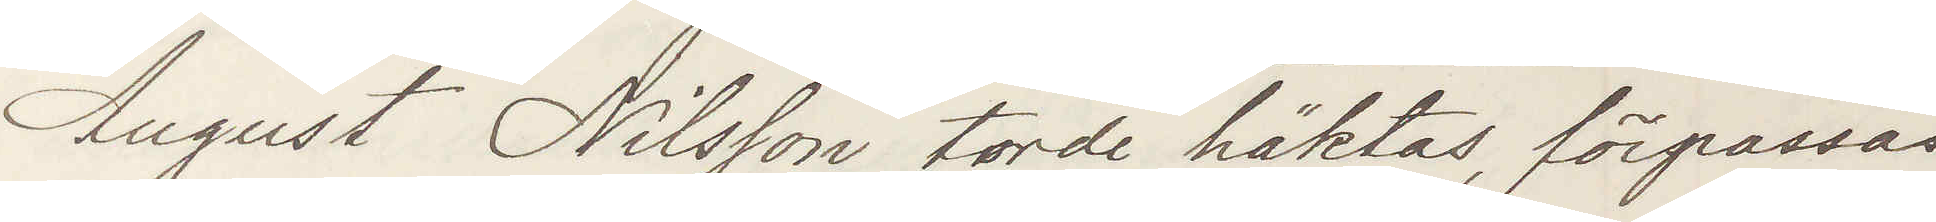August Nilsson torde häktas, förpassas
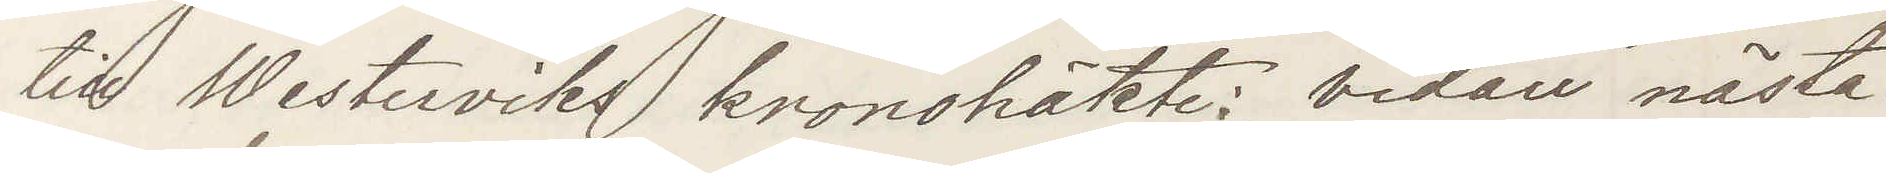till Westerviks kronohäkte: vidare nästa
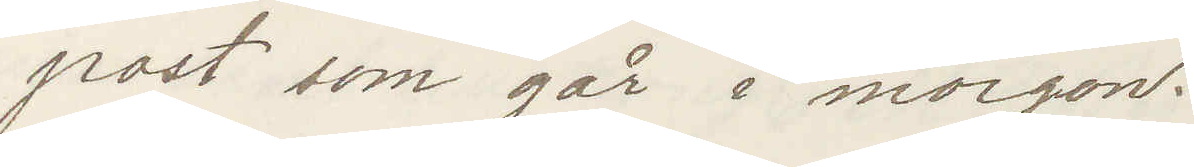post som går i morgon.
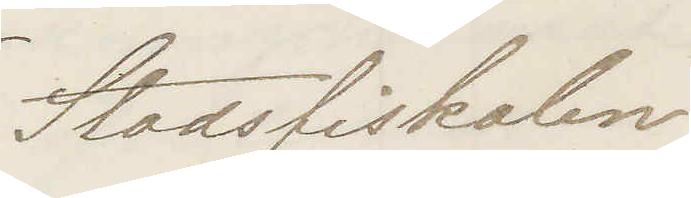Stadsfiskalen
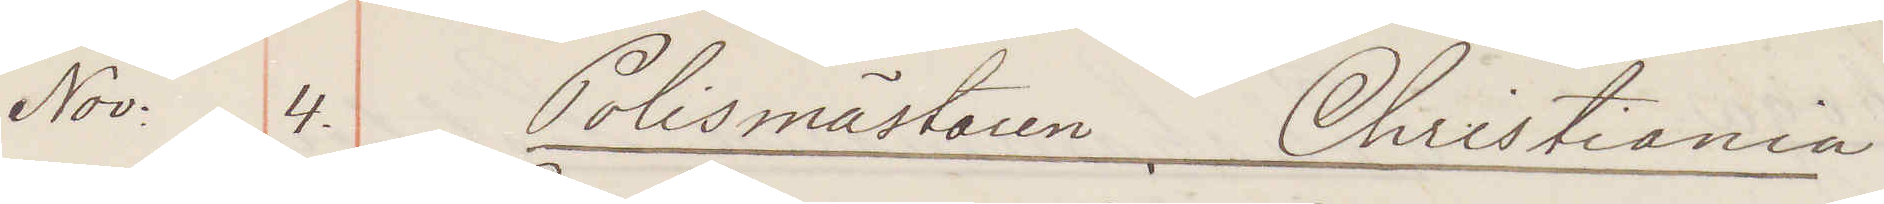Nov. 4. Polismästaren. Christiania
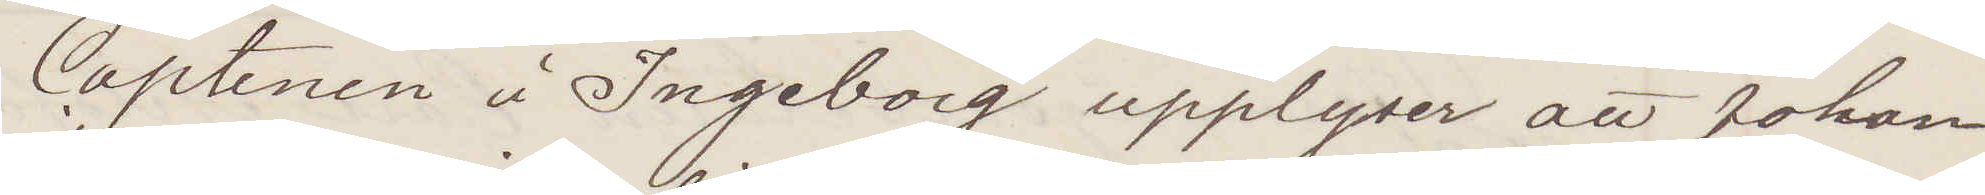Captenen å Ingeborg upplyser att Johan
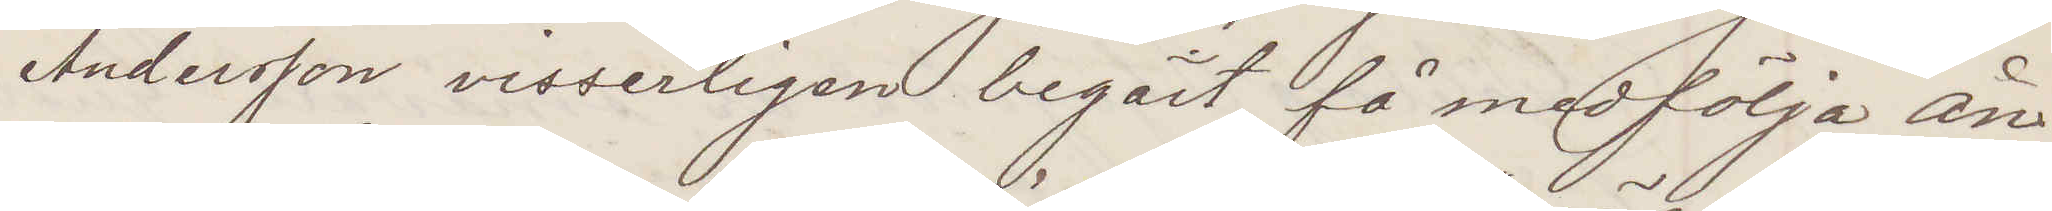Andersson visserligen begärt få medfölja ån¬
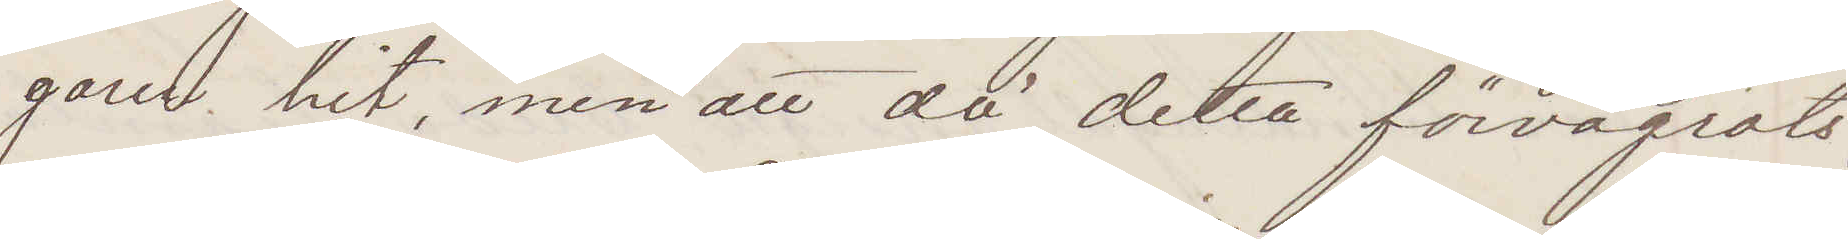garen hit, men att då detta förvägrats,
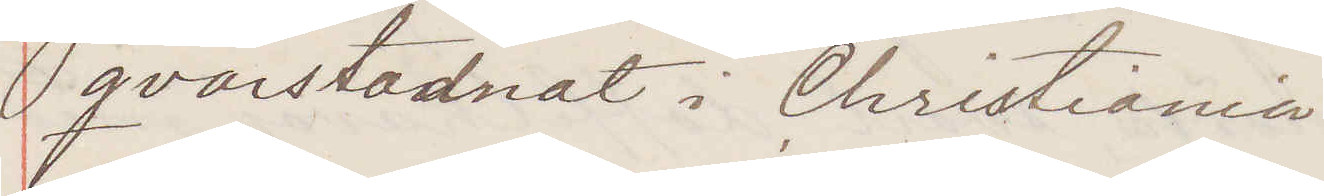qvarstadnat i Christiania
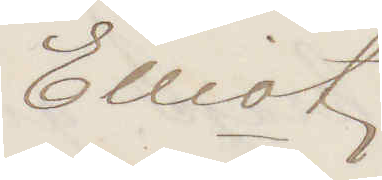Elliot
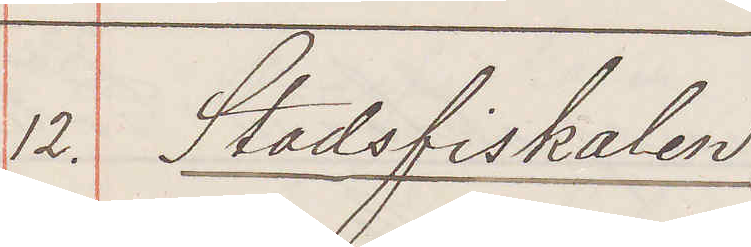12. Stadsfiskalen
